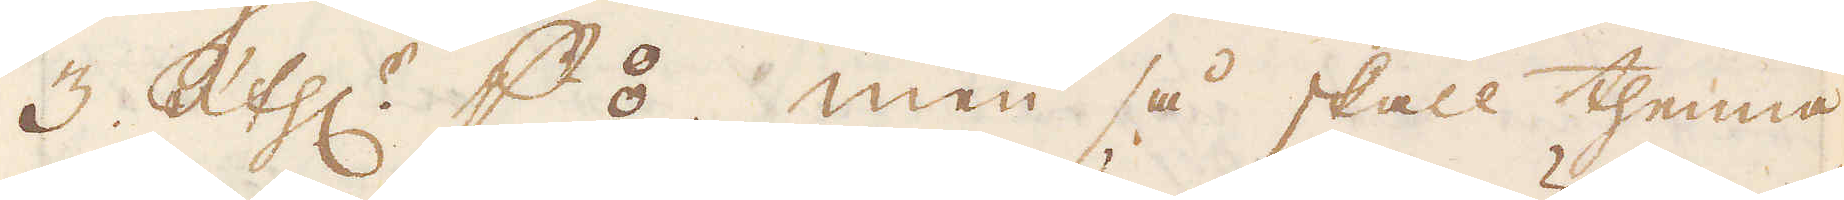3 R:thlr p ⦂, men så skall thenna
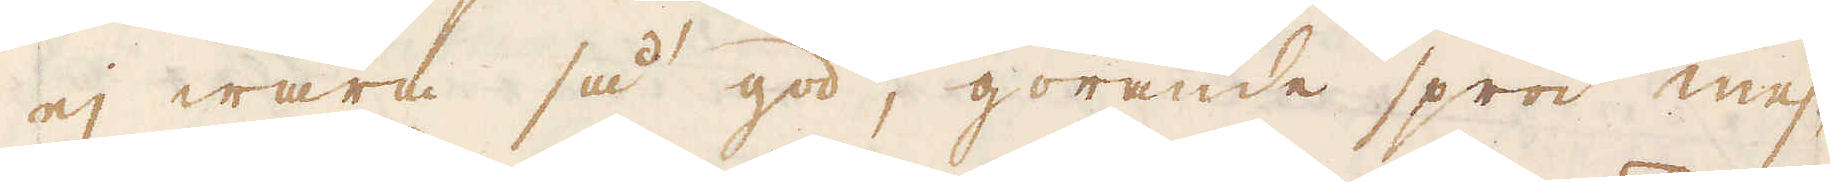ej wara så god, görande spröd mes-
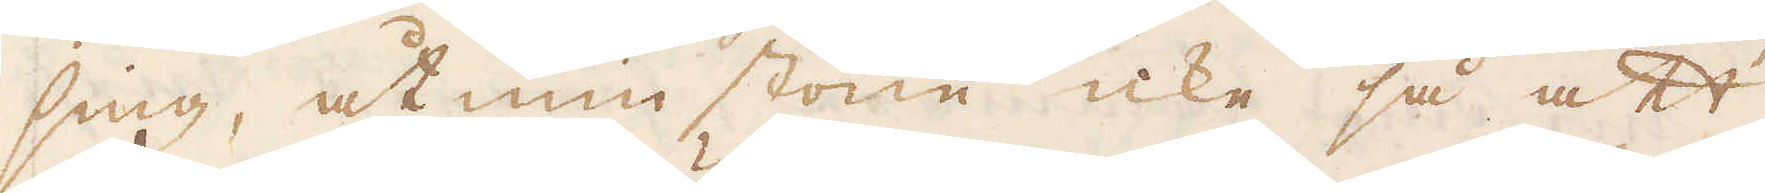sing, åtminstone icke så att
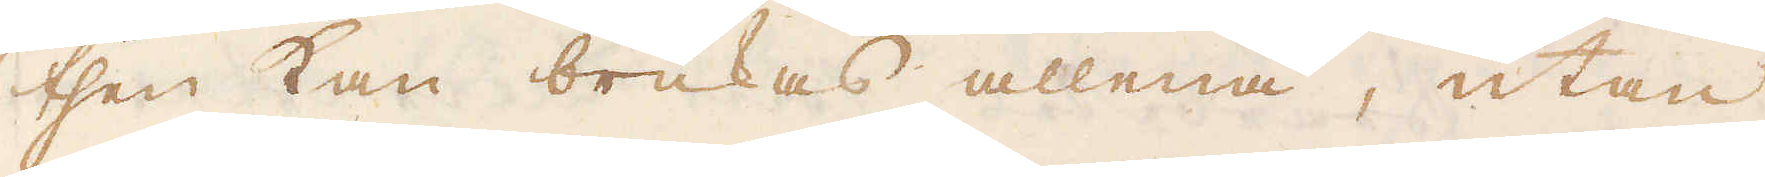then kan brukas allena, utan
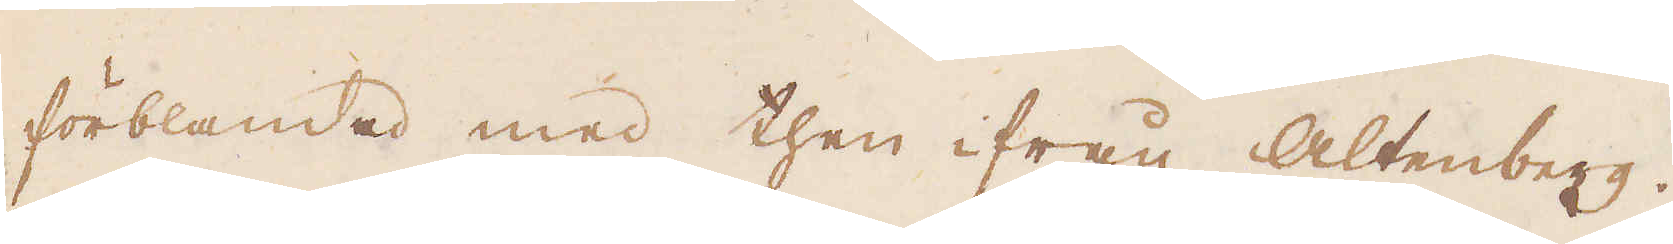förblandad med then ifrån Altenberg.
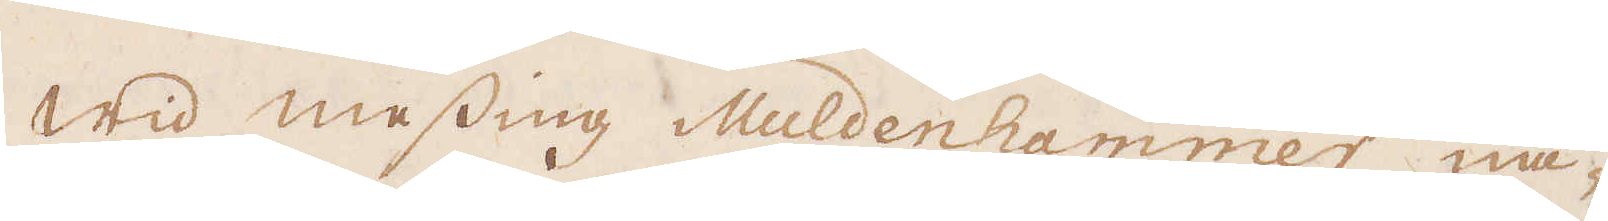Wid messing Muldenhammer nå-
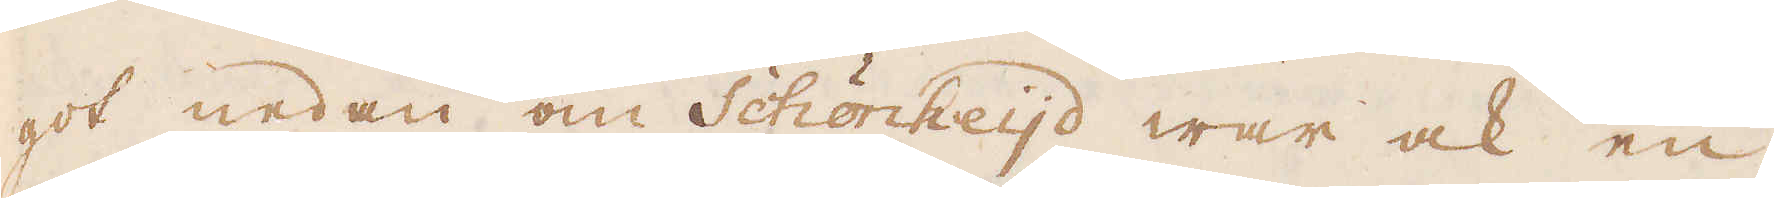got nedan om Schönheijd war ock en
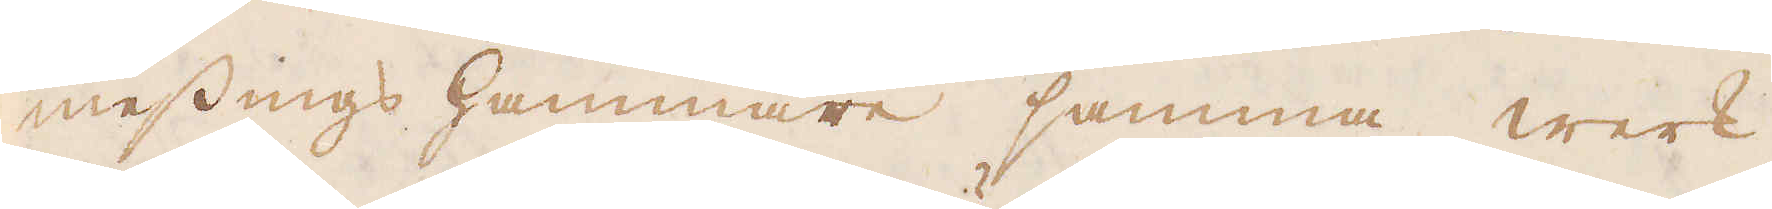messings hammare samma werk
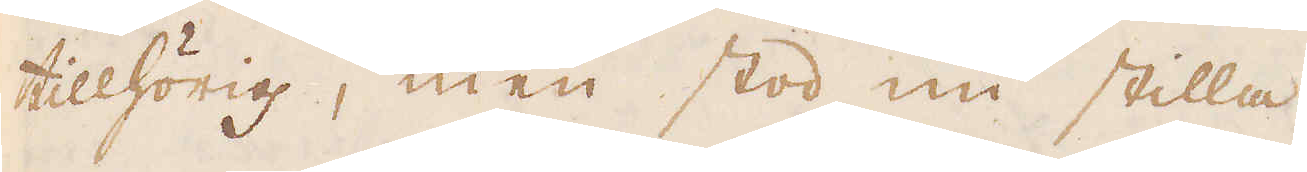tillhörig, men stod nu stilla.
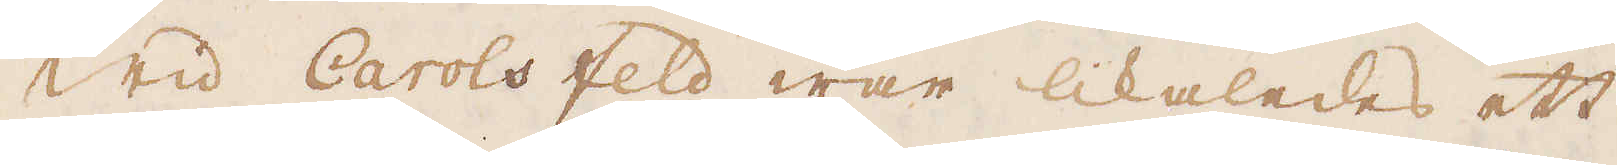Wid Carolsfeld war likaledes ett
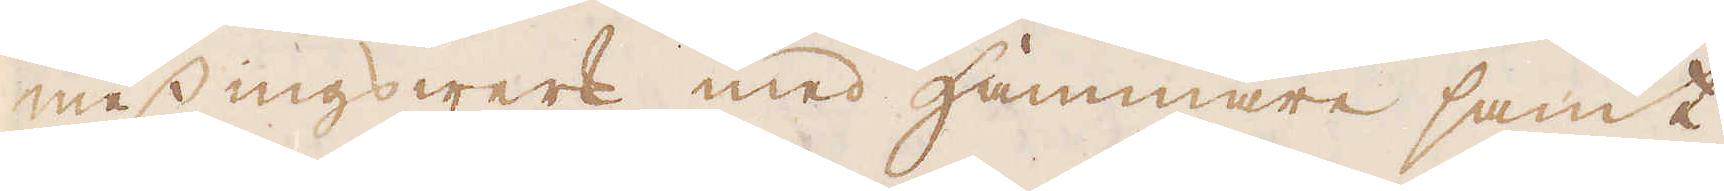messingswerk med Hammare samt
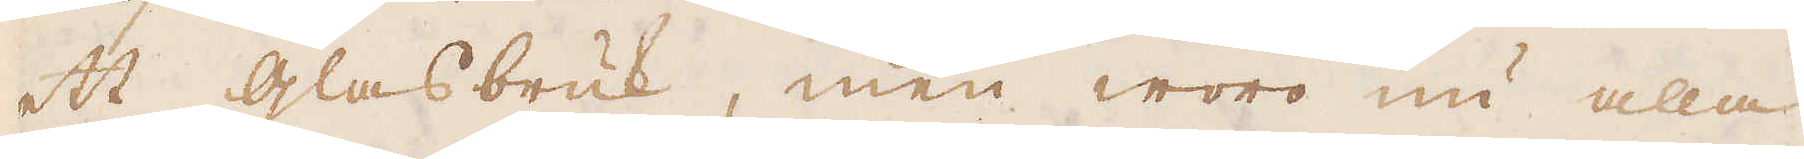ett glasbruk, men woro nu alla
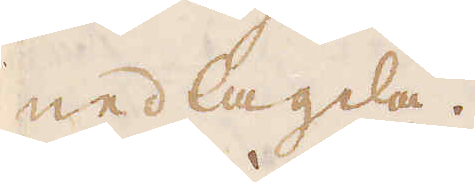nedlagda.
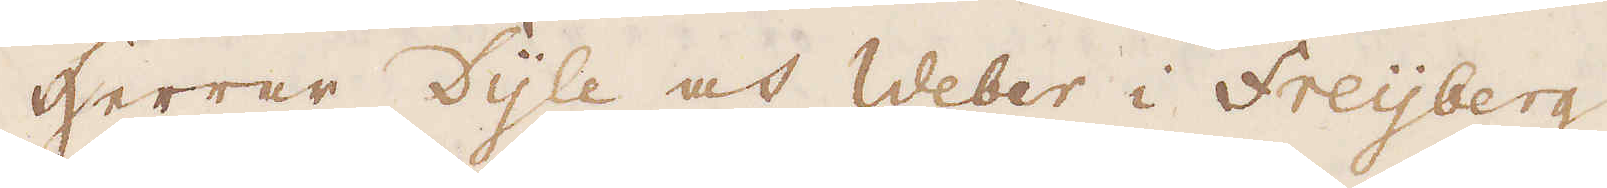Herrar Dyle och Weber i Freijberg
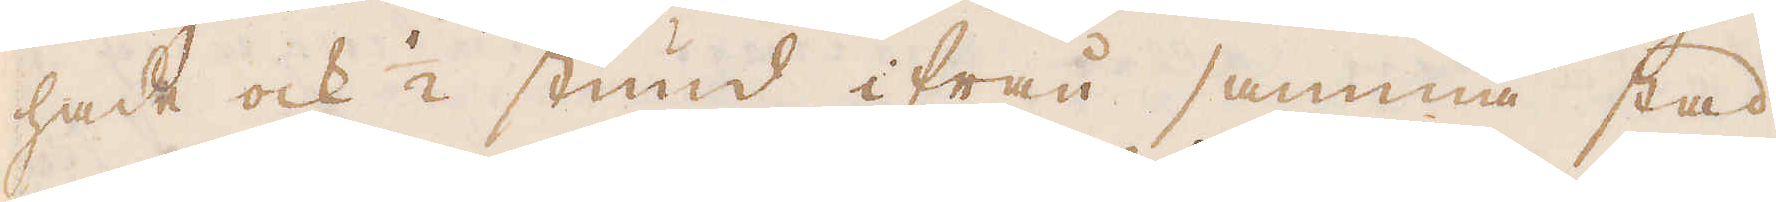hade ock 1/2 stund ifrån samma stad
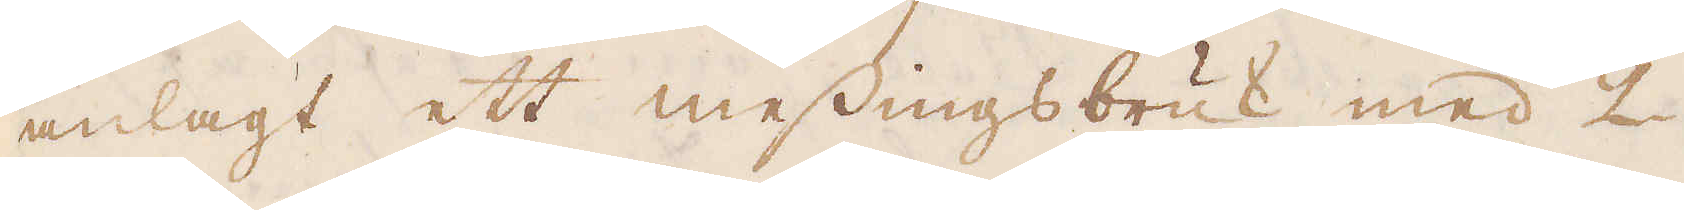anlagt ett messingsbruk med 2
